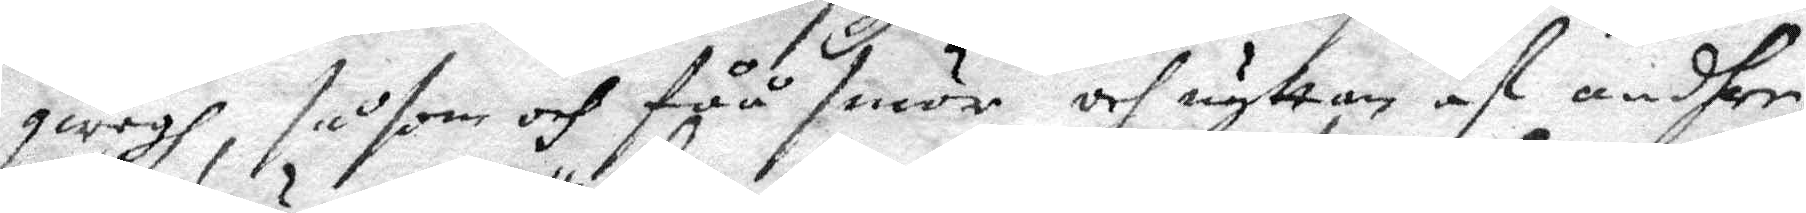qwegh, såsom och fåå smör och nyttan af andhre
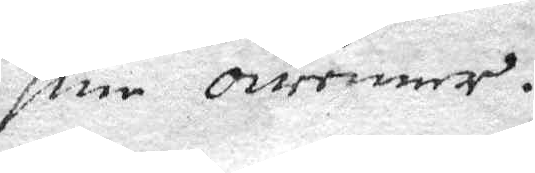sine ovenner.
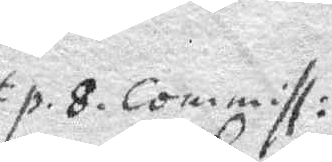p.8. Commiss:
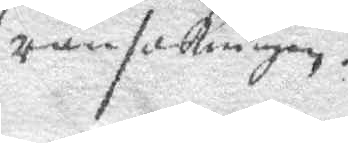ransakningen.
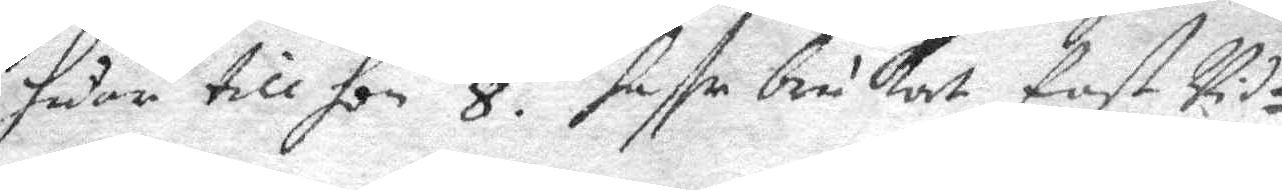sedan till hon 8. Haffr brukat fast vid¬
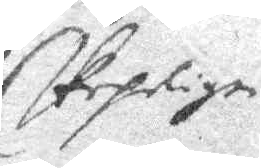skepelige
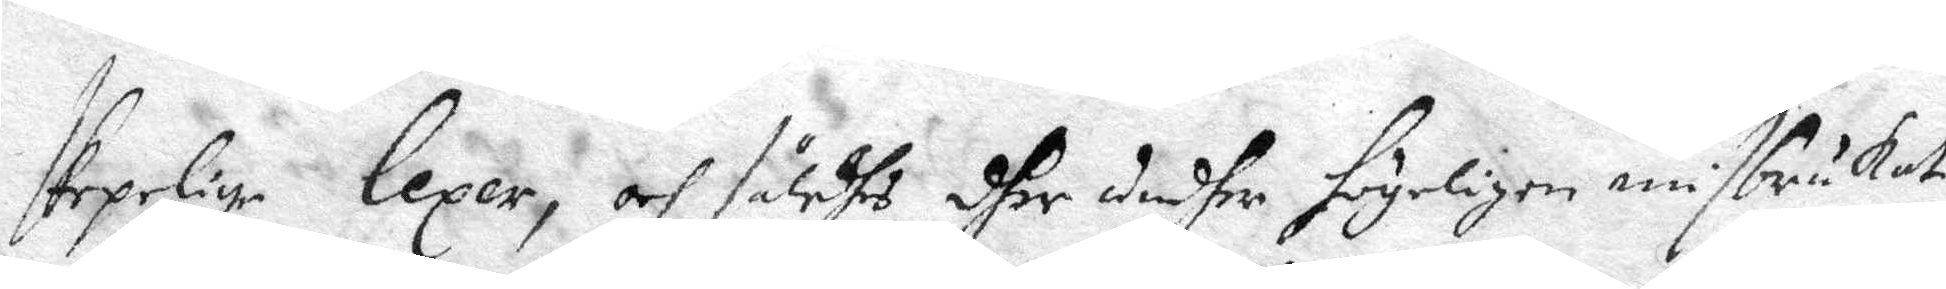skepelige Lexer, och således dher undher frywiligen misbrukat
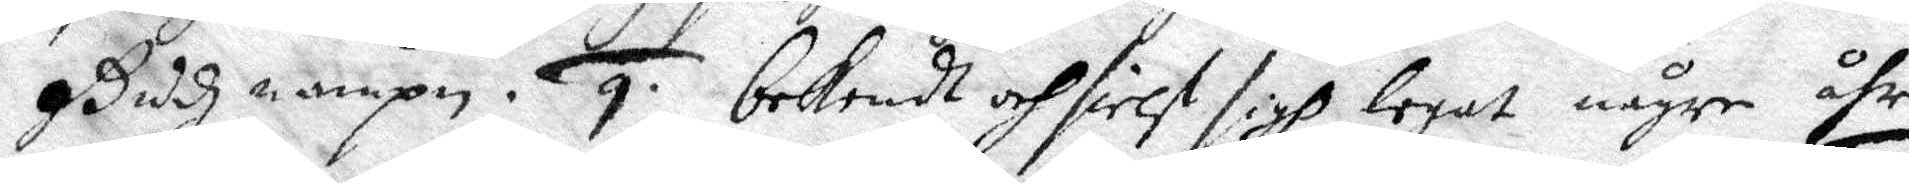Gudhz namnp. 9. bekendt och sielf sigh legat någre åhr
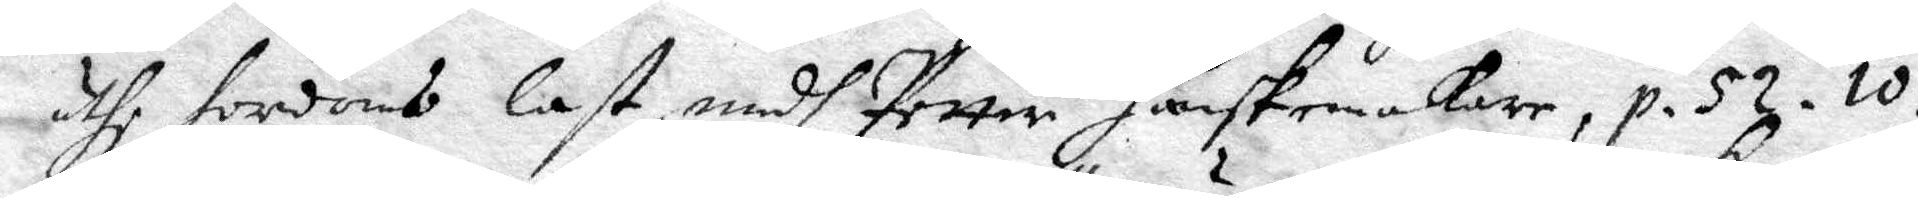uthi hordoms last, medh Petter Hanskemakare, p. 52. 10.
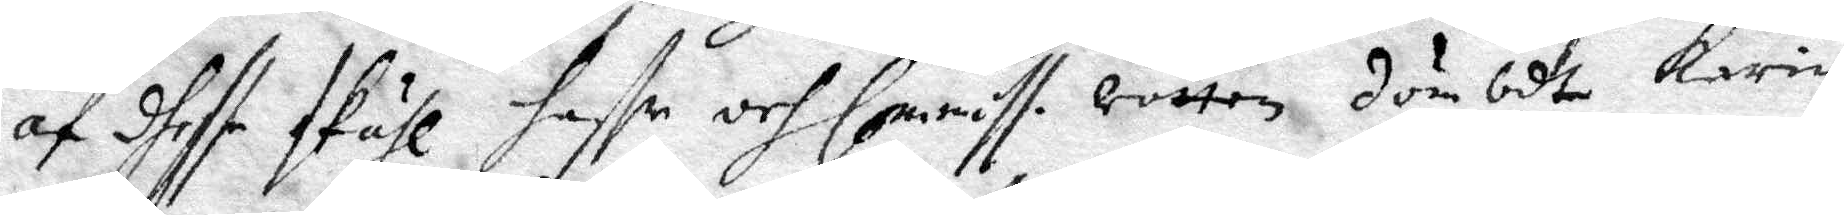af dhette skåhl haffr och Commiss. rätten dömbdt Karin
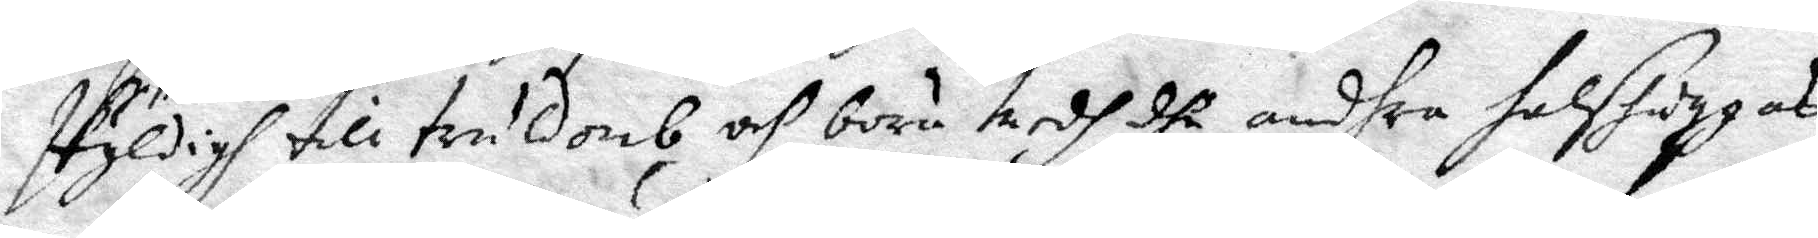skyldigh till truldomb och böra medh dhe andhra halshuggas
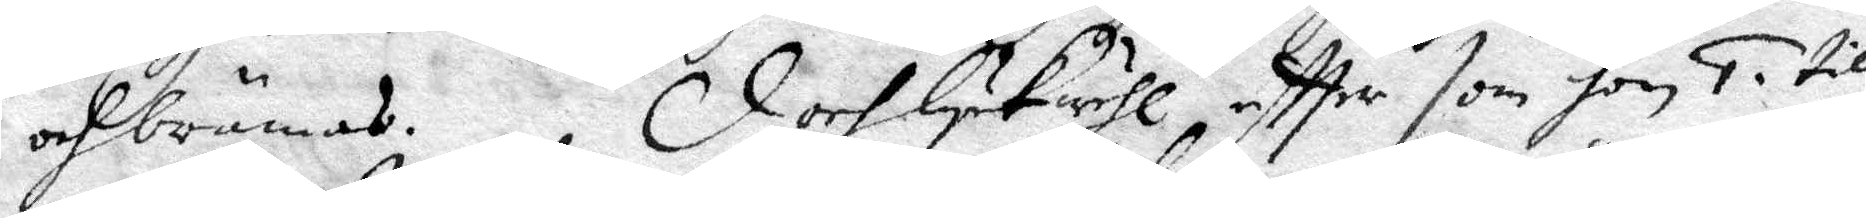och brännas. Doch Lykwähl eftter som hon 1. till
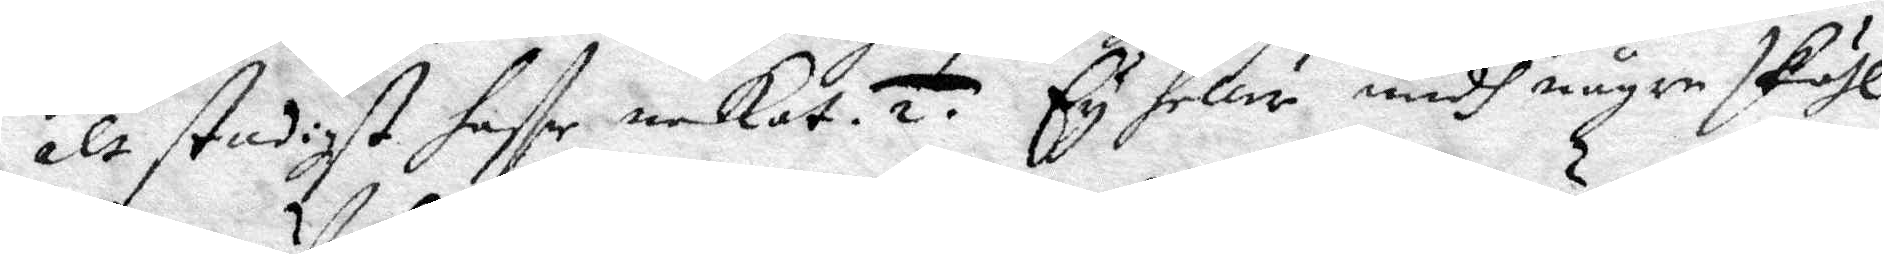alt stadigt haffr nekat. 2. Ey heller medh någre skähl
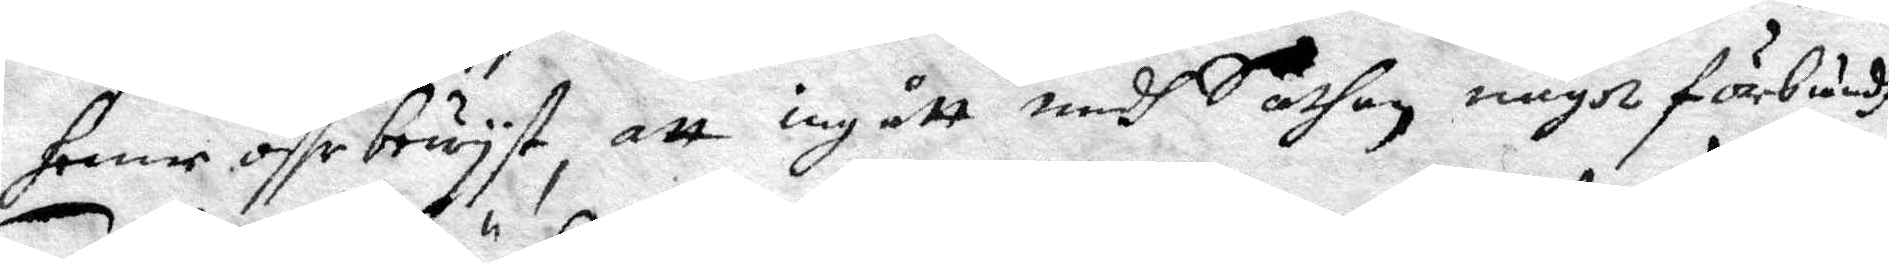henne öffr bewyst, att ingått medh Sathan något förbundh.
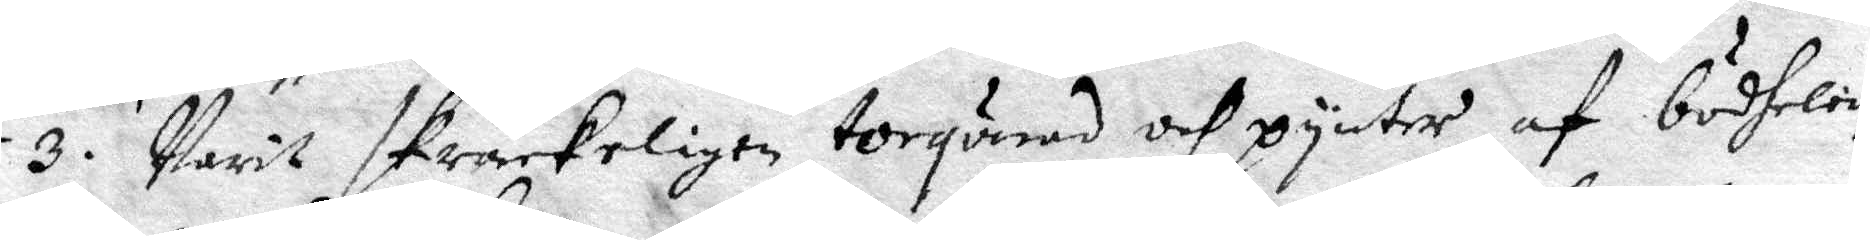3. Warit skräckeligen torqurad och pynter af bödhelen,
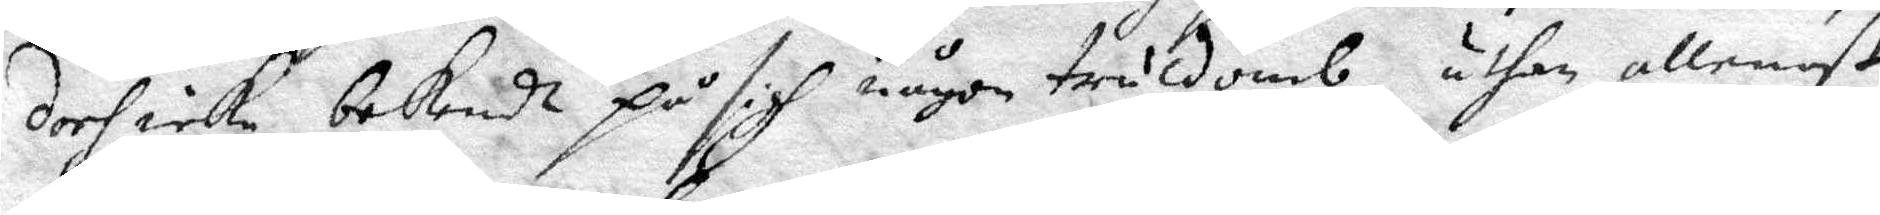doch icke bekendt på sigh någon truldomb, uthan allenast
